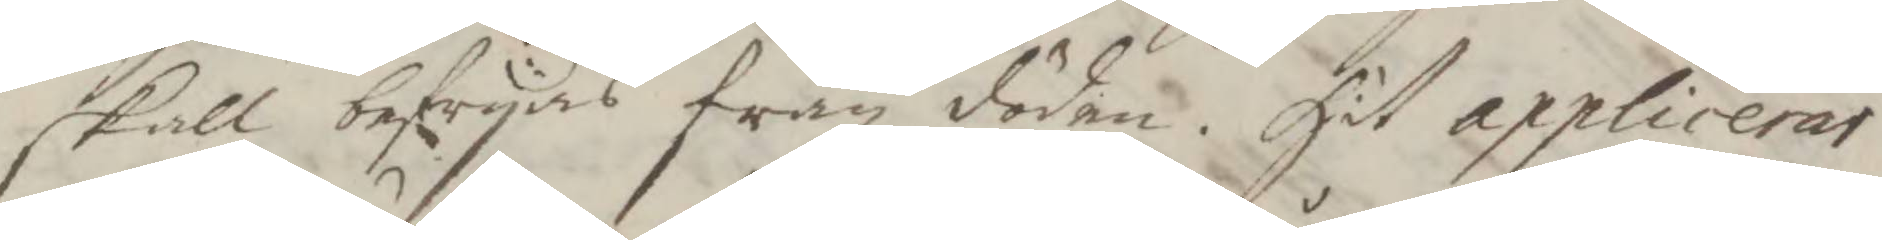skall befryas från döden. Hit applicerar
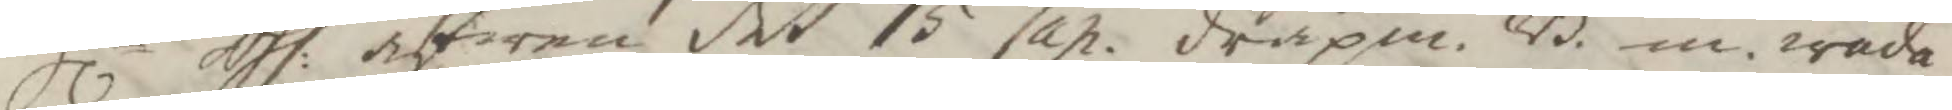Hlr Ass: äfwen det 15 Cap. dråpm. B. m. wåda
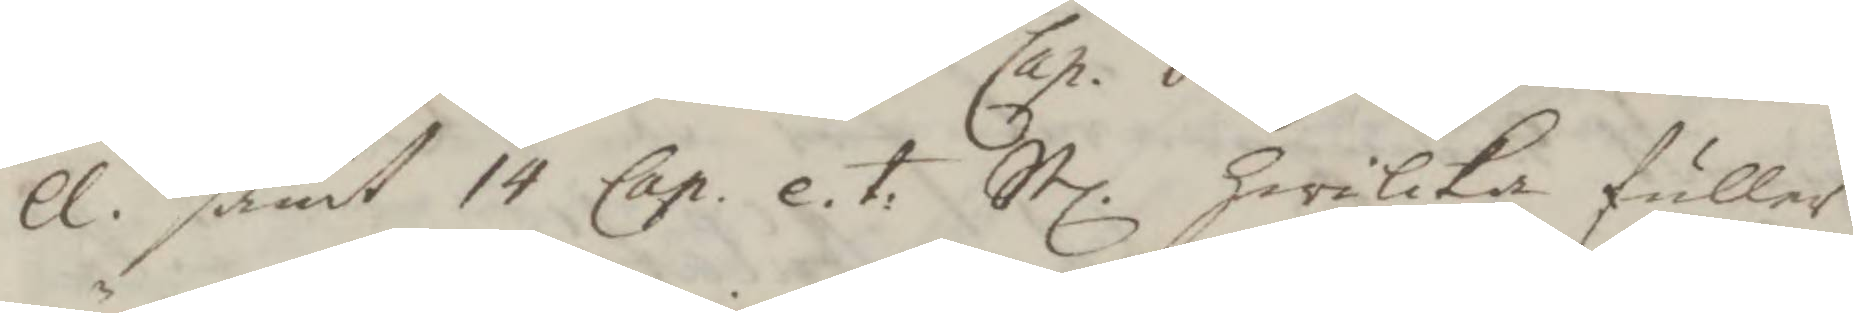ll. samt 14 Cap. e.t. Stl. hwilka fuller
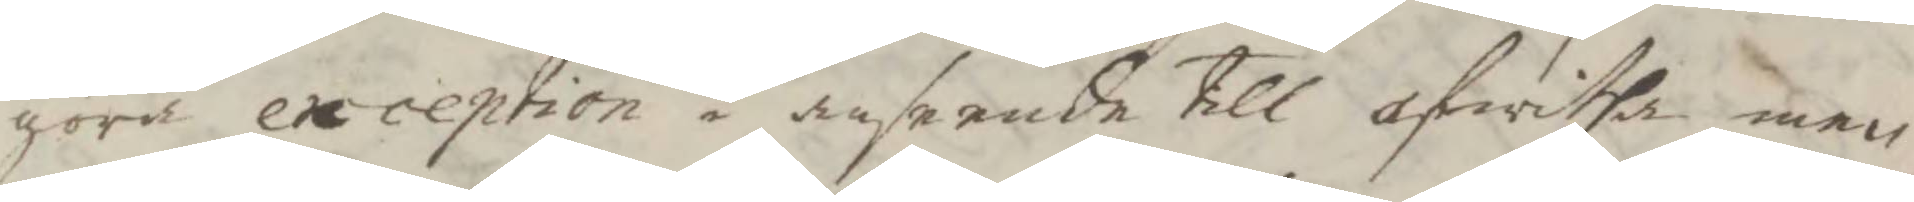göra exception i anseende till ofwitha, men
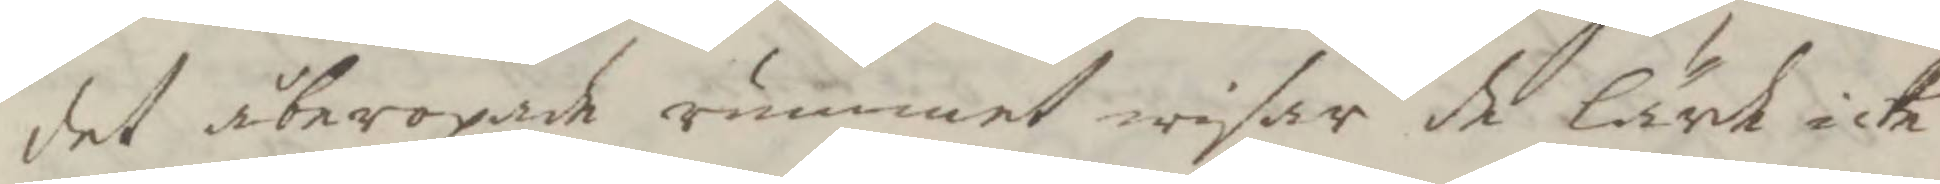det åberopade rummet wisar de lärde icke
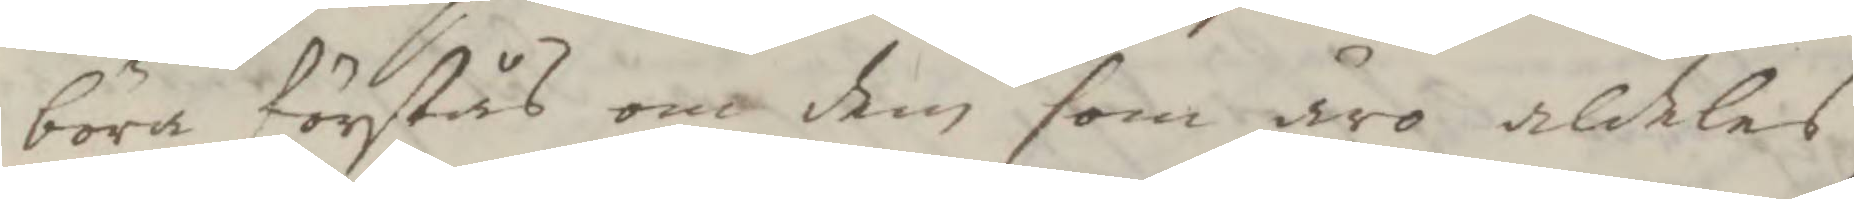böra förstås om dem som äro aldeles
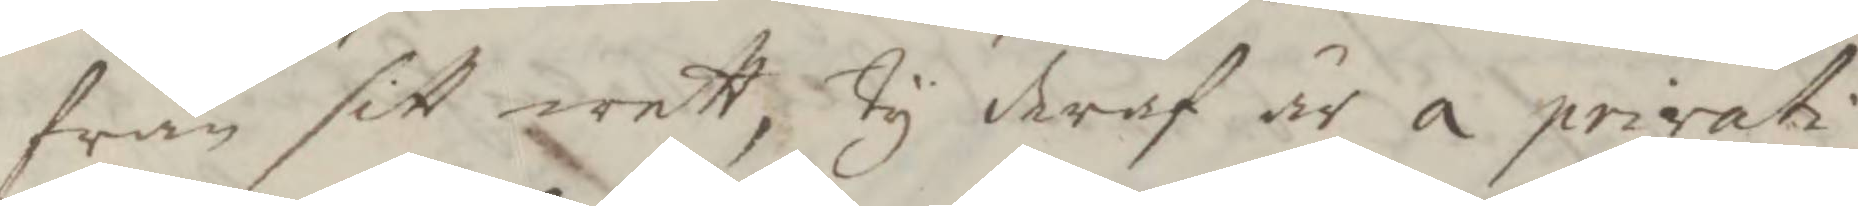från sitt wett, Ty deraf är a prirati
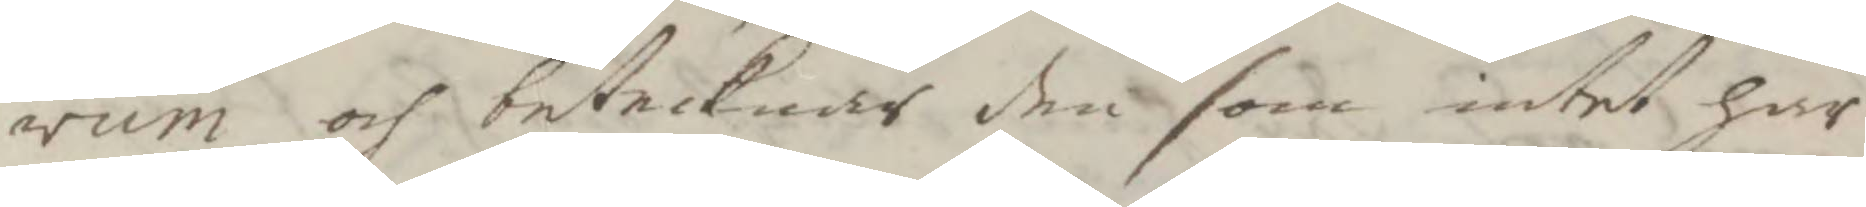rum och betecknar den som intet här
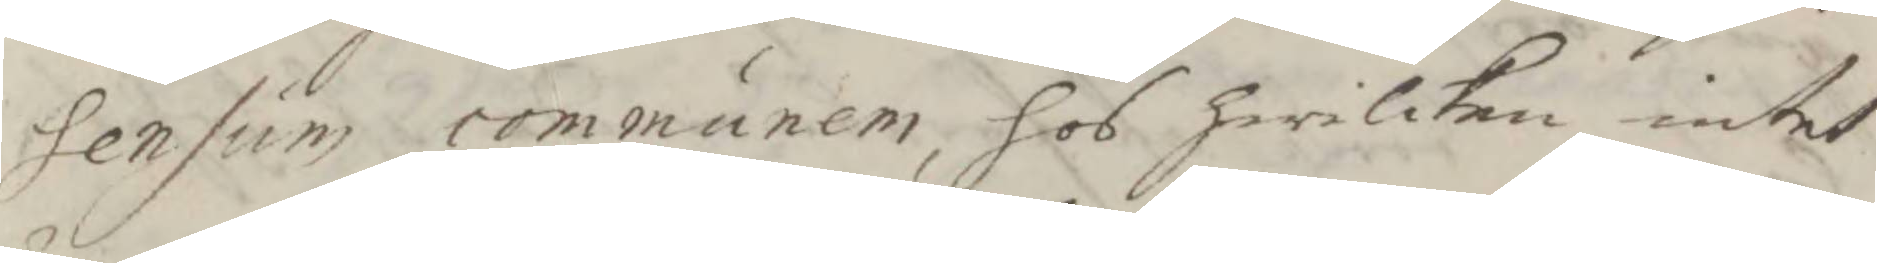Sensum communem, hos hwilken intet
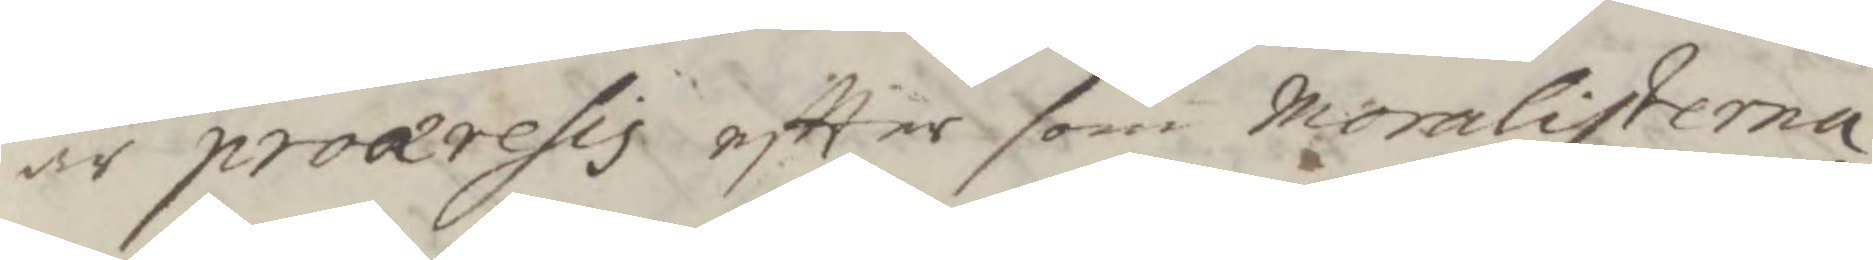är proæresis eftter som moralisterna
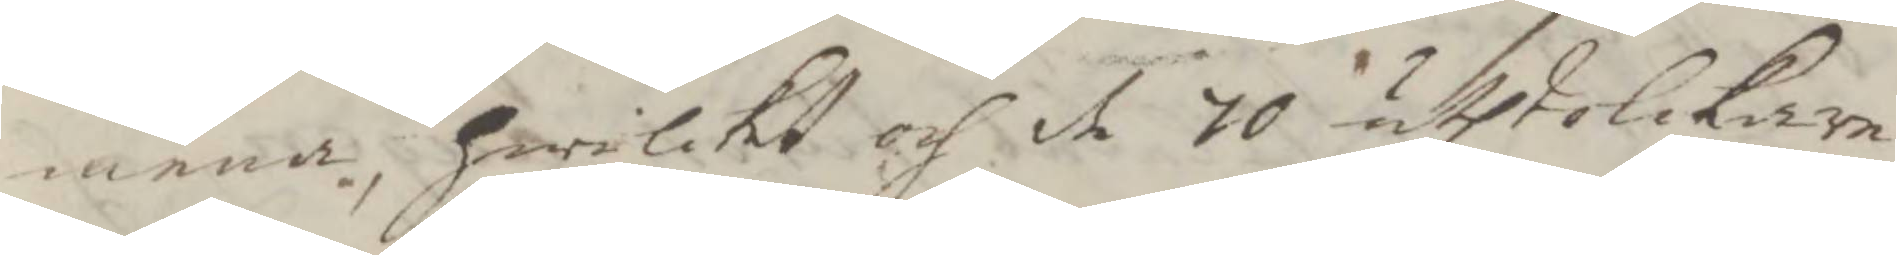mena, hwilket och de 70 uthtolckarne
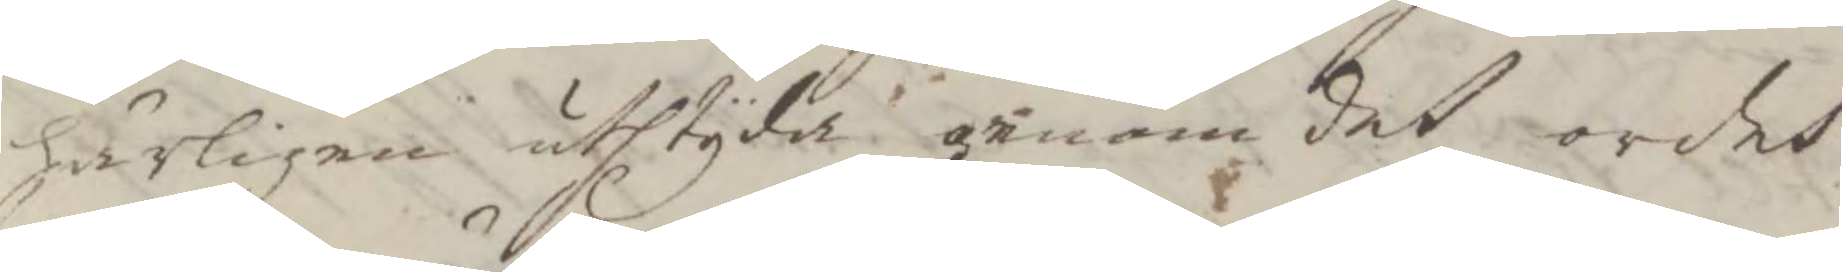härligen uthtyda genom det ordet
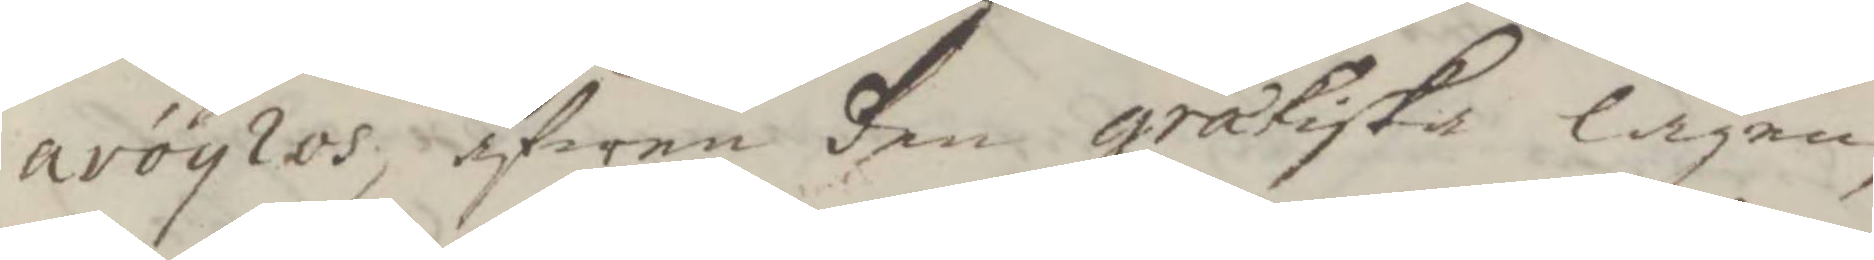avoylos, äfwen den grækiska lagen
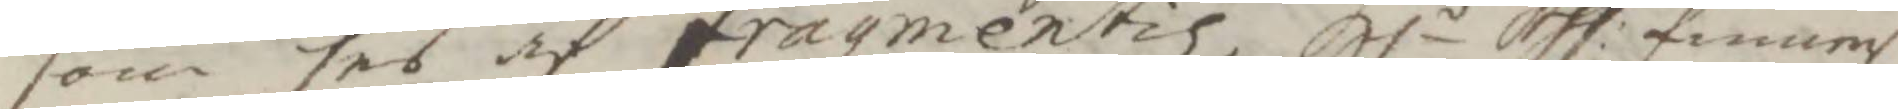som ses af fragmentiz. Hlr Ass: finner
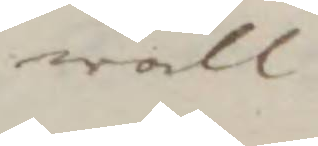wäll
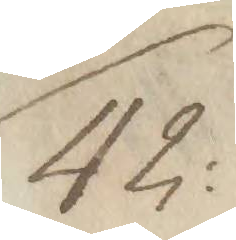42:
